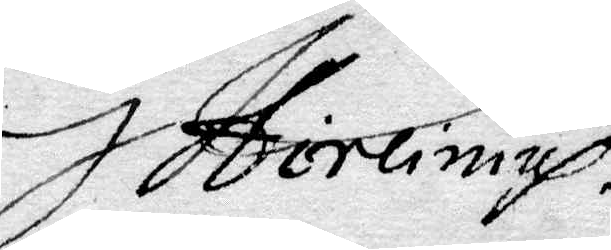G Hirlinius
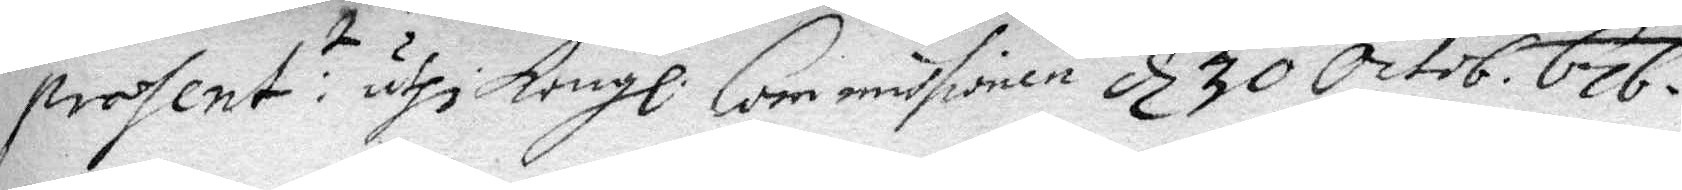present:t uthi Kongl: Commissionen d 30 Octob. 676.
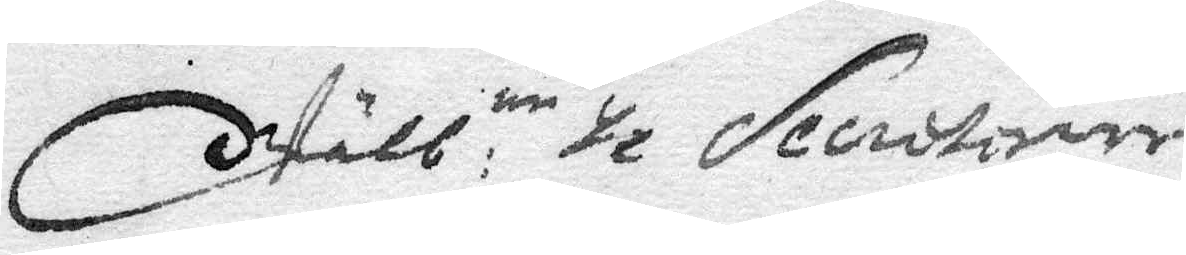Wälb: ne H Secreter
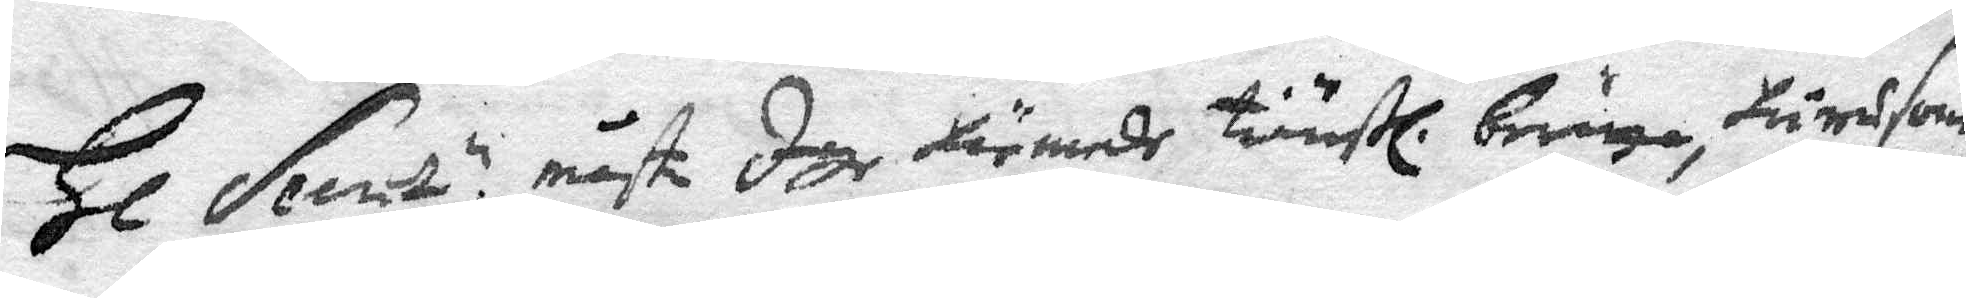Hl Secr: e måste Iag härmede tjänstl. bringa, hurusom
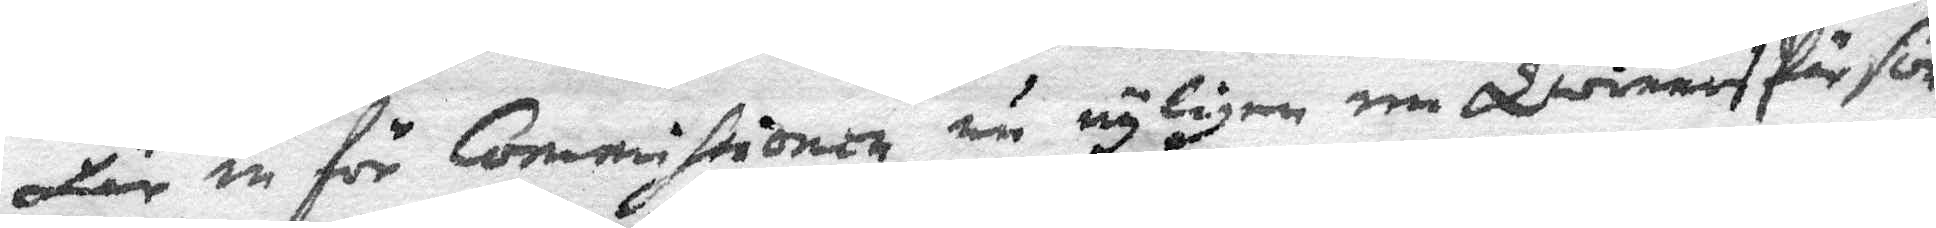här in för Commissionen nu nyligen en Qwinnspärson
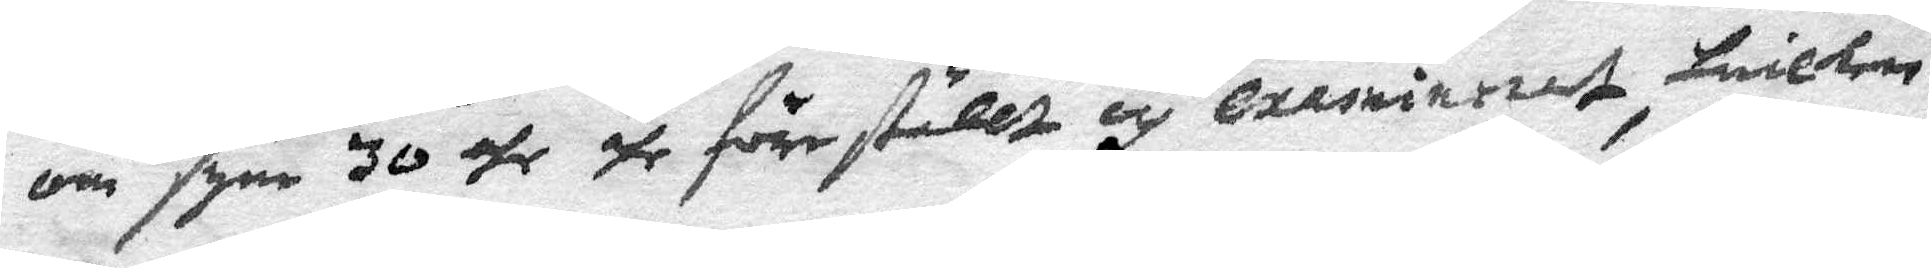om syne 30 åhr ähr föreställt och examinerat, hwilken
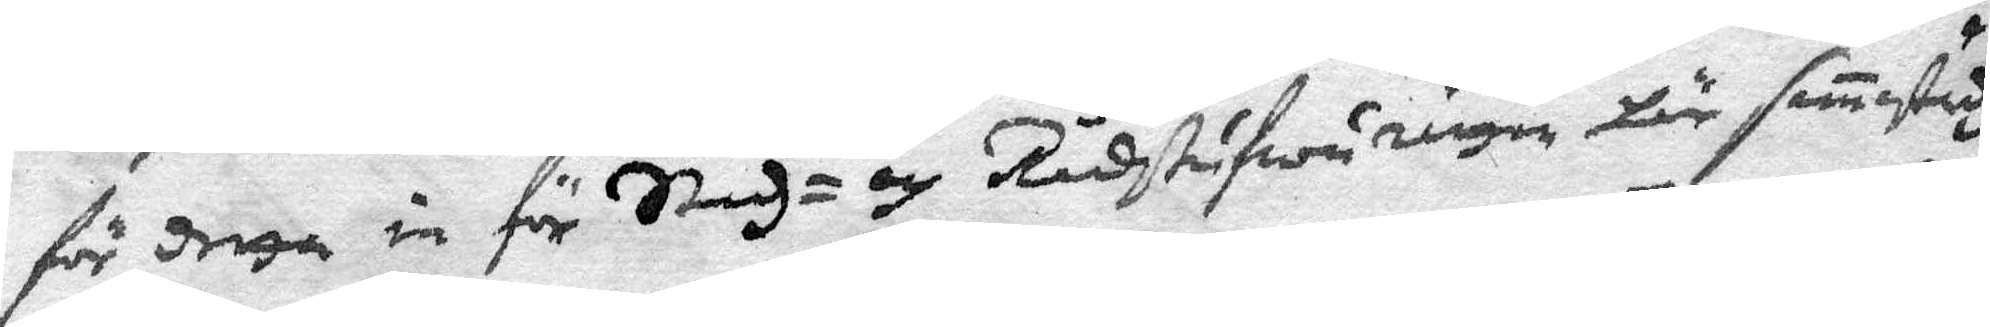för detta in för Stadh- och Rådstufwurätten här samstidh
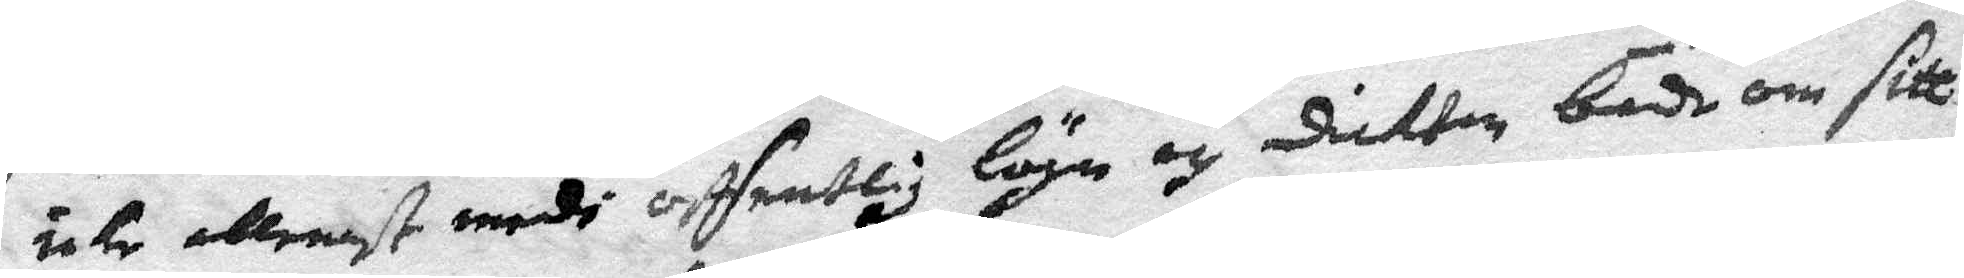icke allenast medh offentlig lögn och dikter både om sitt
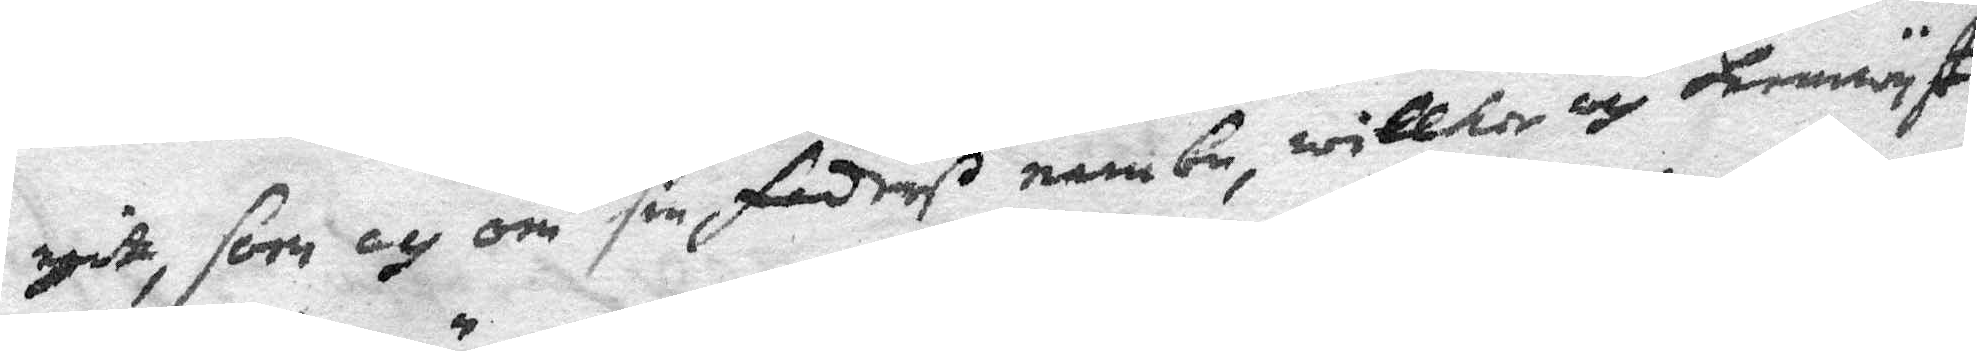egit, som och sin faders nambn, willken och hemwyst
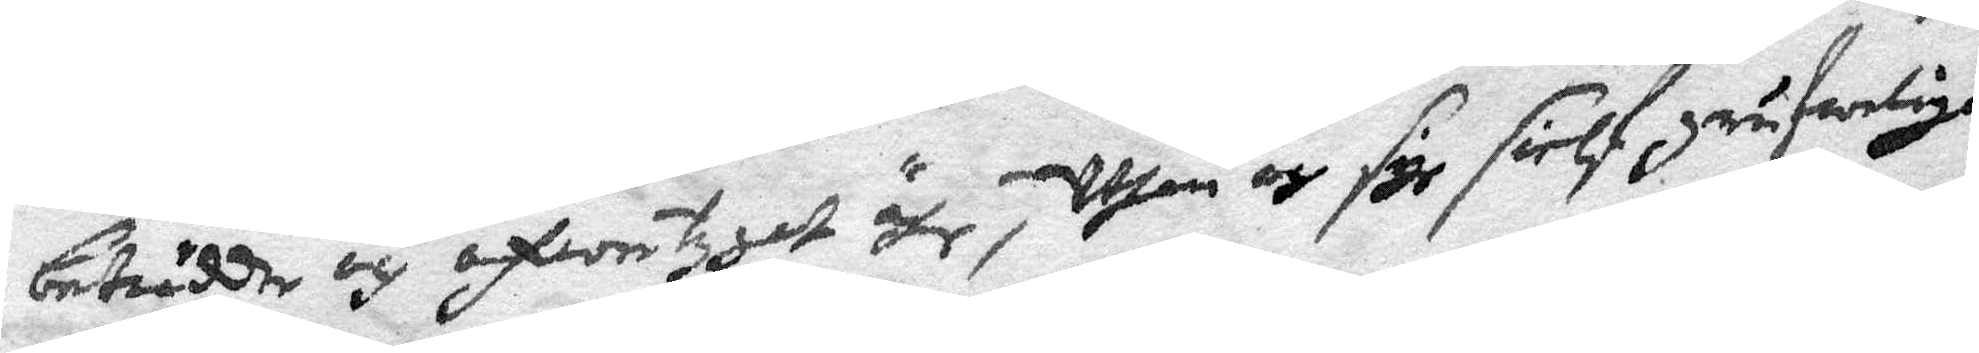beträdde och öfwertygat ähr, Uthan och sigh sielf grufwelige
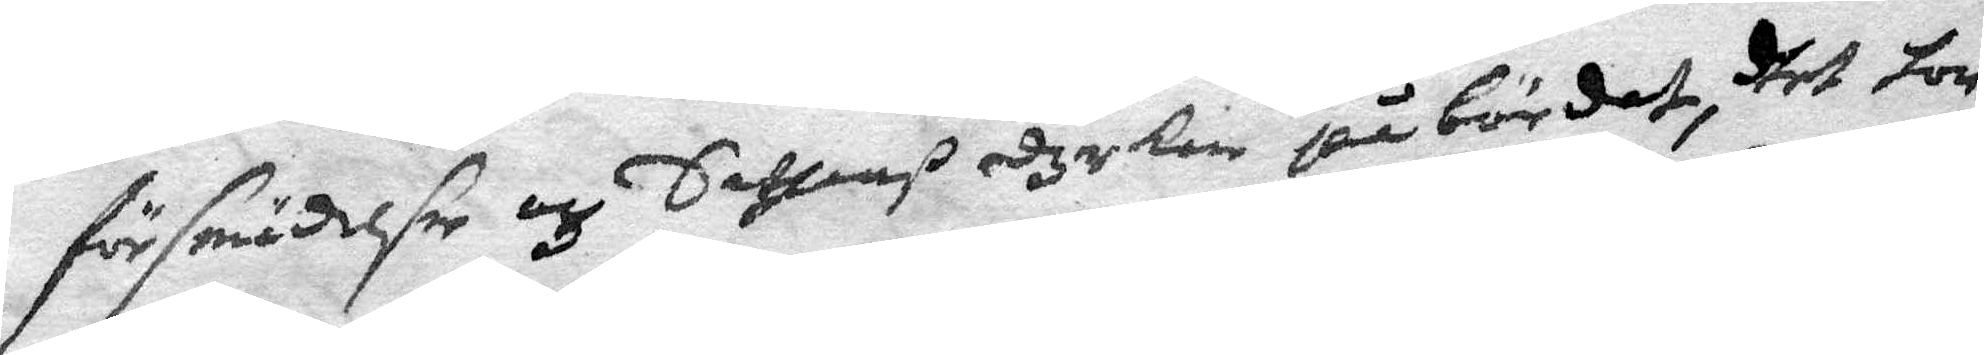försmädelser och Sathans dyrkan påbördat, dhet hon
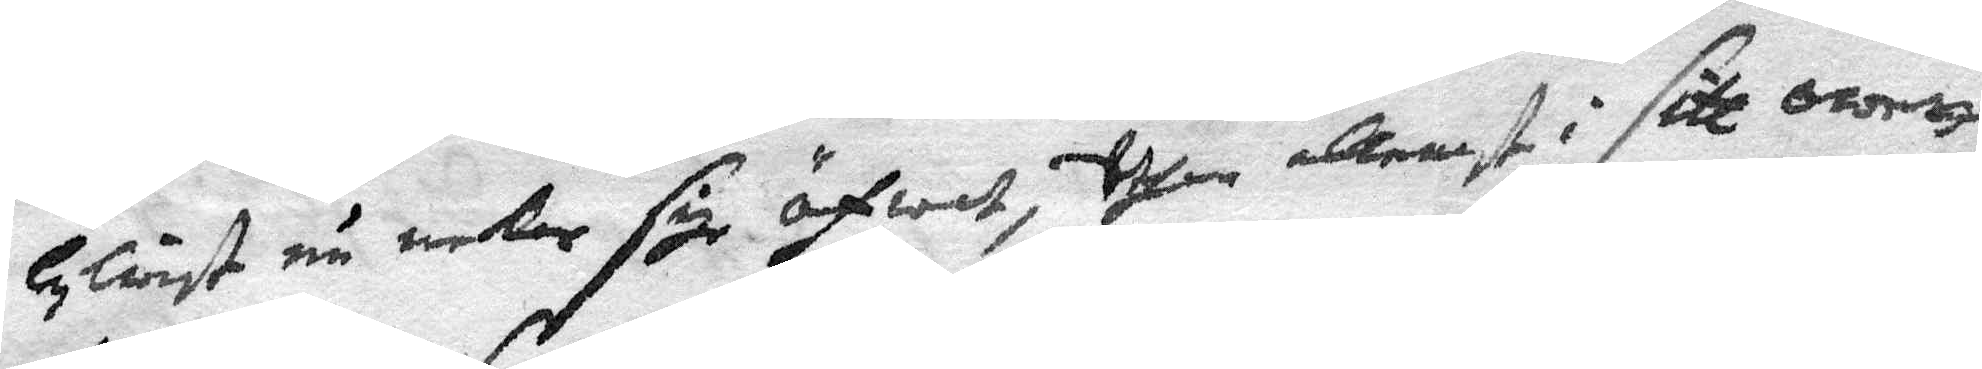lykwist nu nekar sige öfwat,Uthan allenast i sitt owett
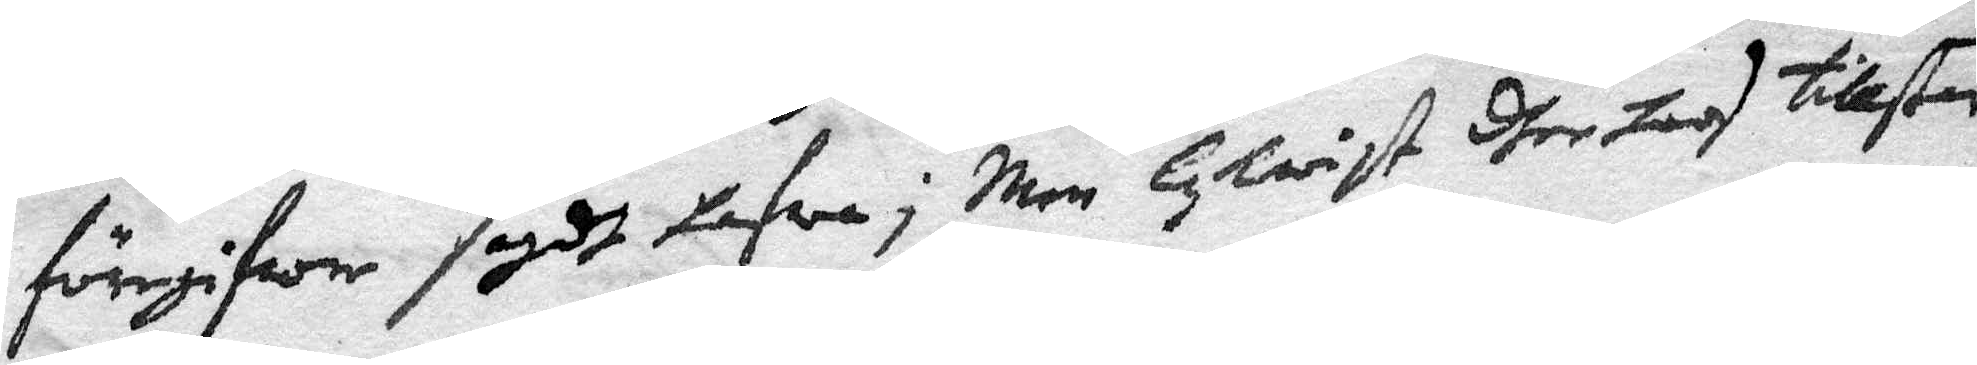föregifwer sagdt hafwa; Men lykwist dherhoos tillstår
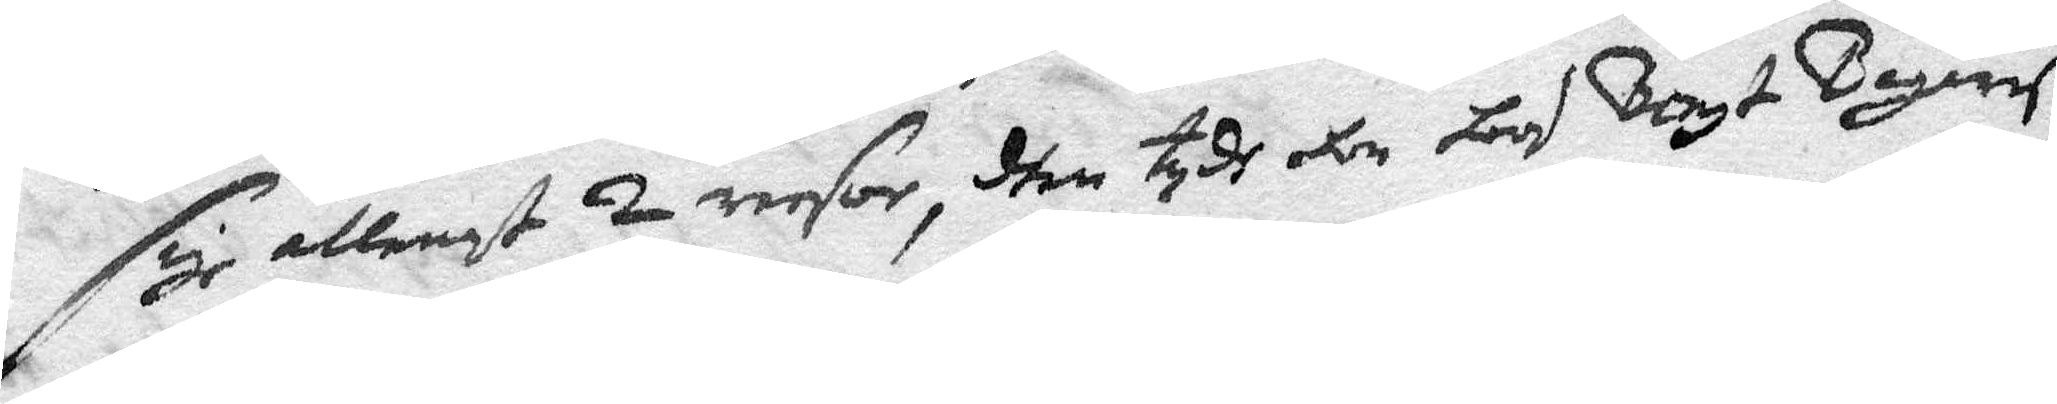sigh allenast 2 resor, dhen tydh hon hos Bengt Bagareß
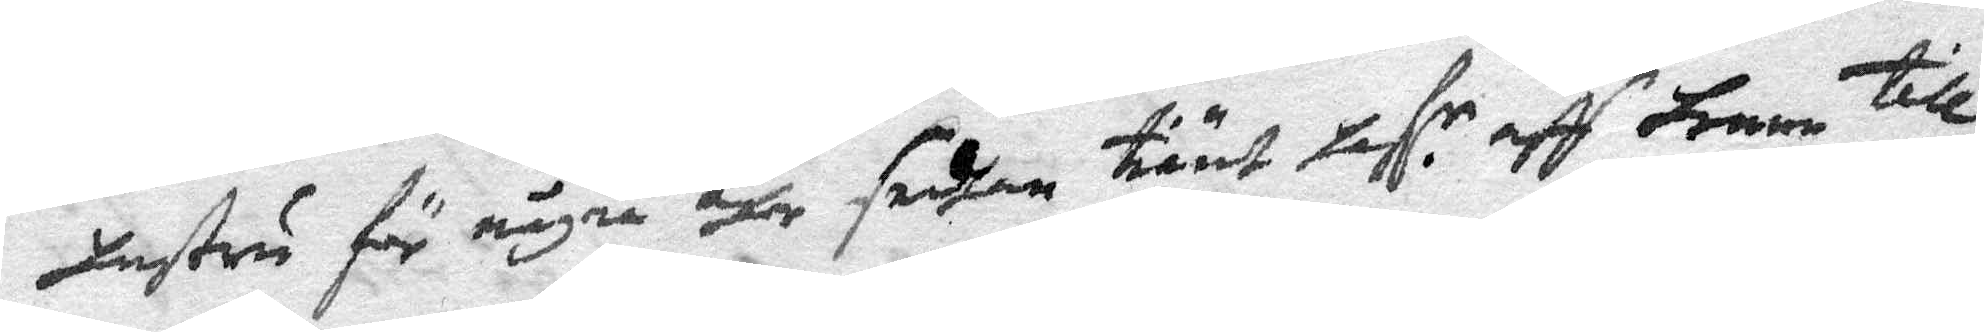hustru för några åhr sedhan tiänt haf. r aff henne till
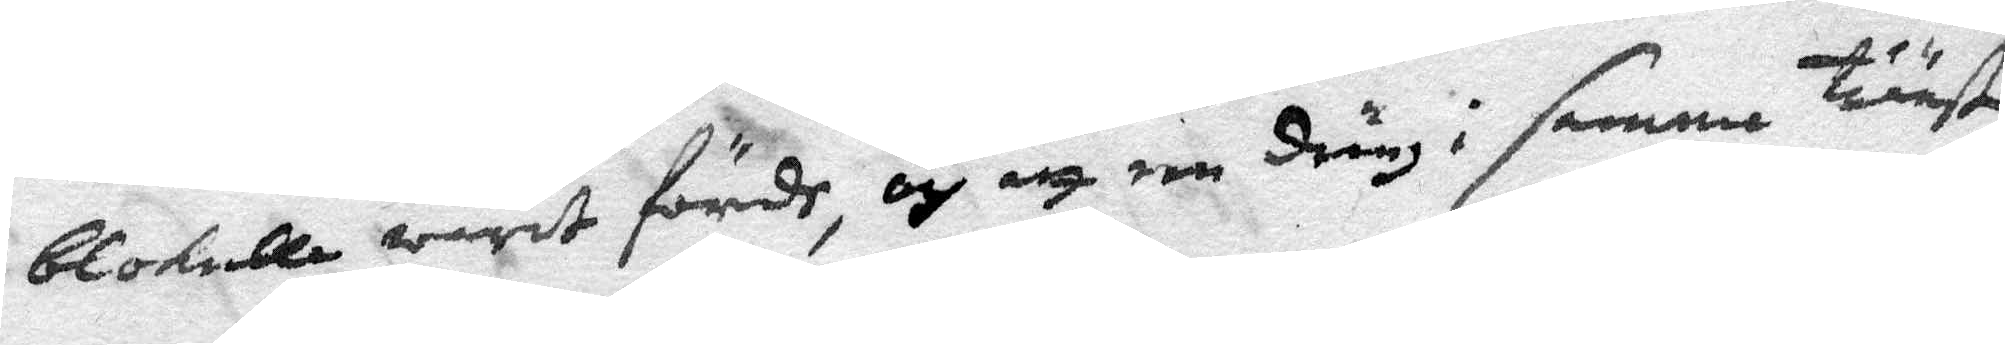blokulla warie förde, och att een dräng i samma tiänst
